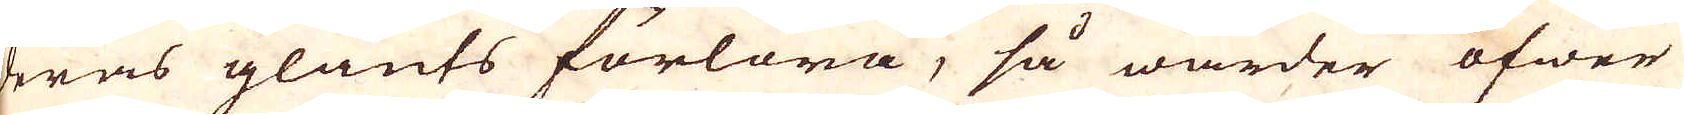deras glants förlora, så warder öfwer
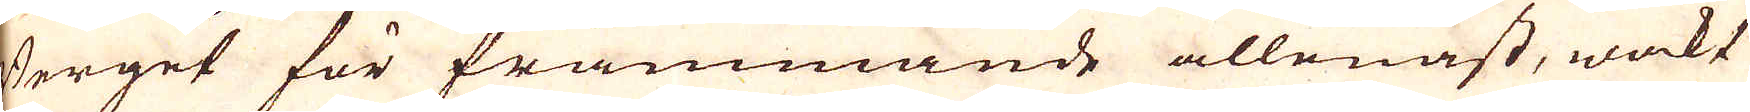Berget för främmande allenast, wakt
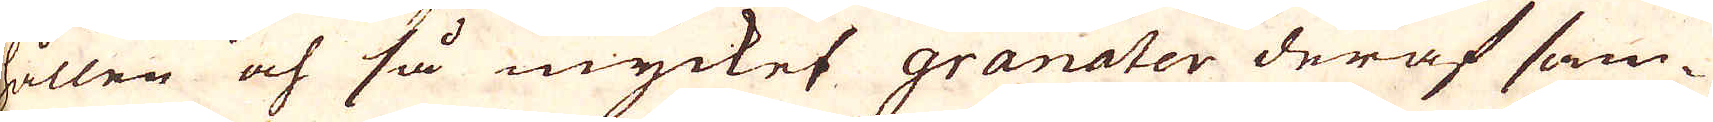hållen och så mycket granater deraf sam-
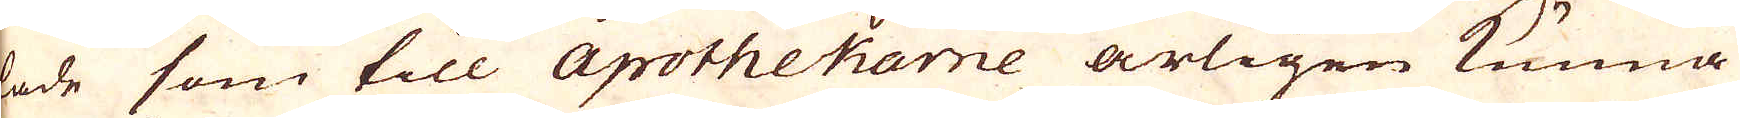lade som till Apothekarne årligen kunna
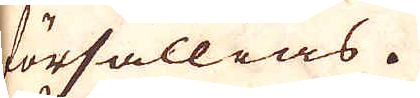försällias.
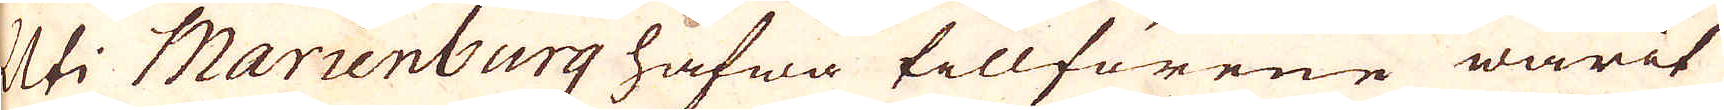Uti Marienburg hafwa tillförene warit
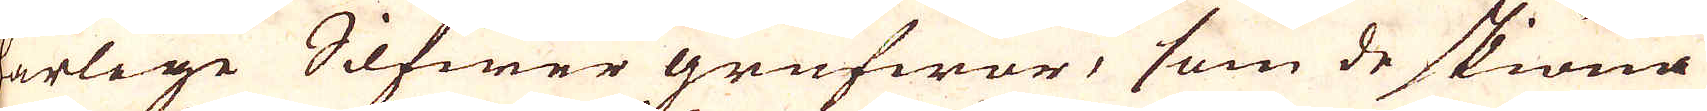härlige Silfwer grufwor, som de skiöna
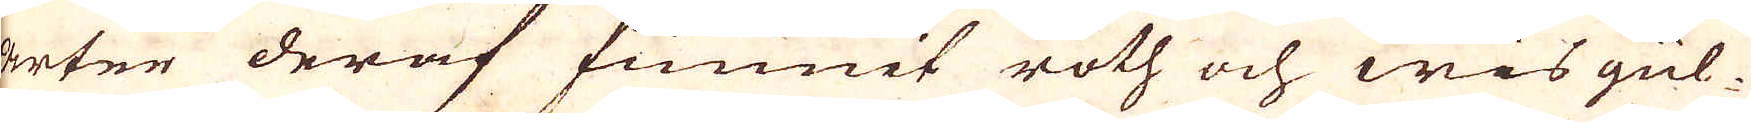arter deraf funnit roth och wis gül-
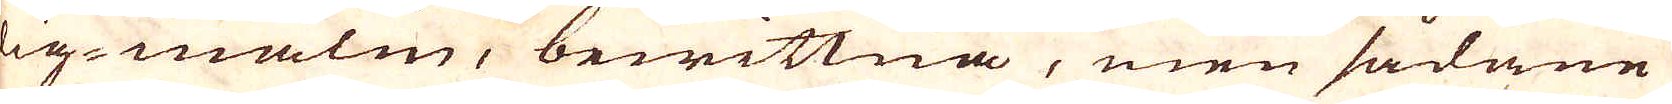ig-malm, bewittna, men sådane
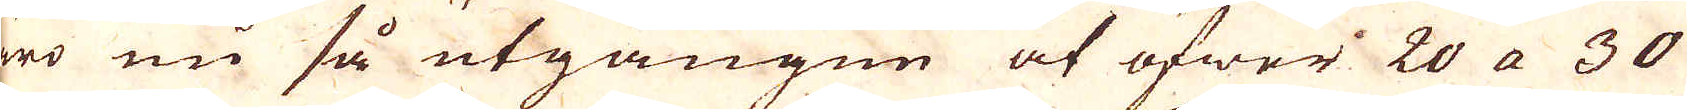äro nu så utgången at öfwer 20 a 30
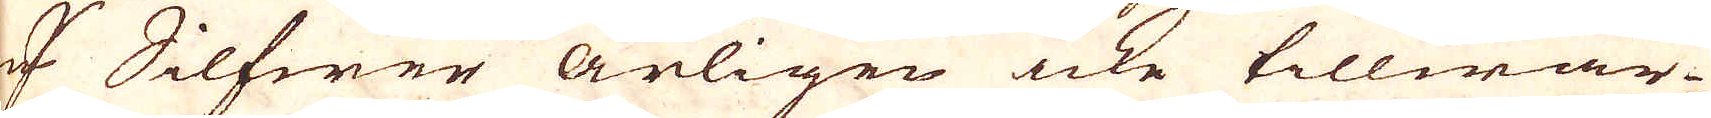qv:r Silfwer årligen icke tillwär-
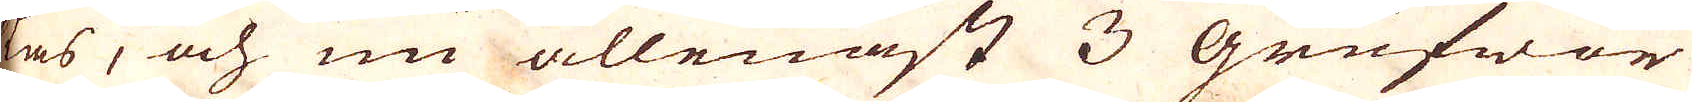as, och nu allenast 3 Grufwor
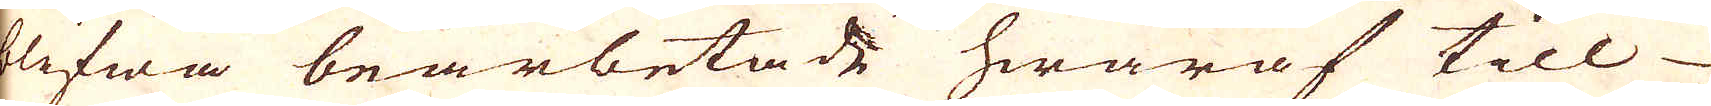blifwa bearbetade hwaraf till
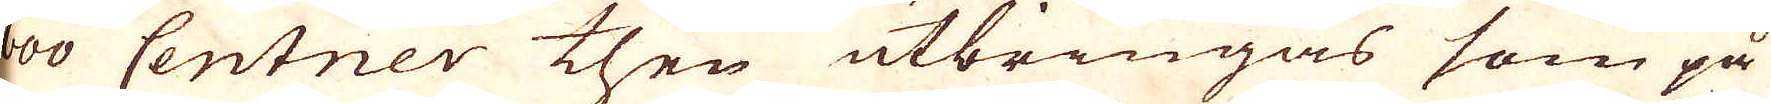600 Centner then utbringas som på
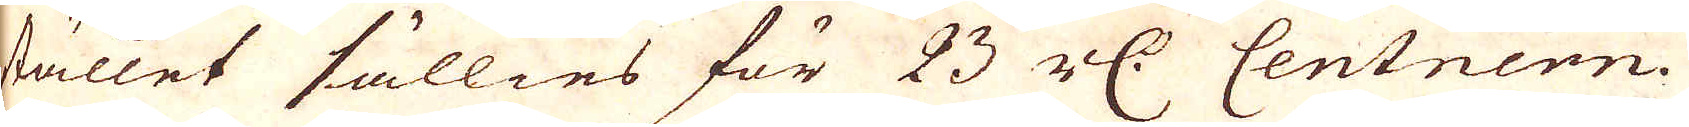stället sällies för 23 r:dr Centnern.
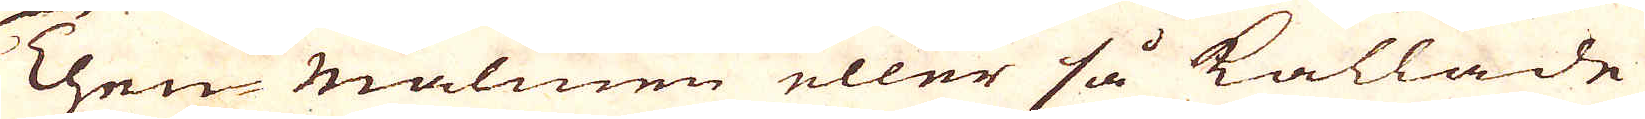Then malmen eller så kallade
